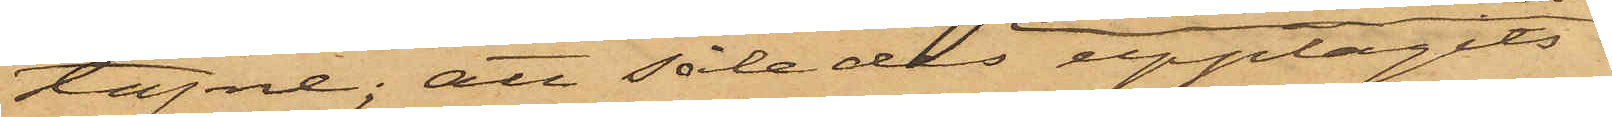tagne; att således upptagits
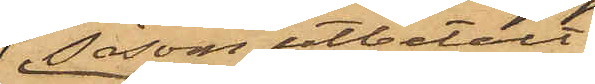såsom utbetalt
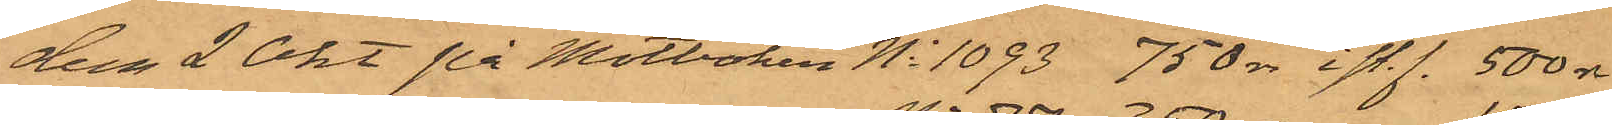den 2 Okt på Motboken No 1093 750 rdr i st.f. 500 rdr
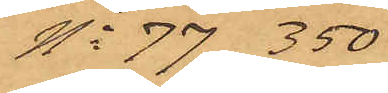No 77  350
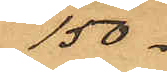150
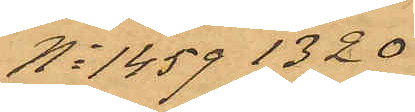No 1459 1320
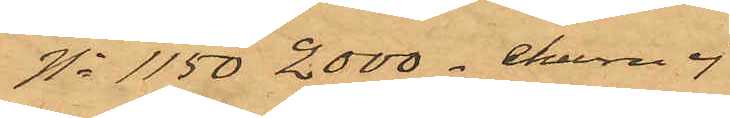No 1150 2000 ehuru ej
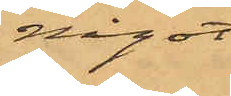något
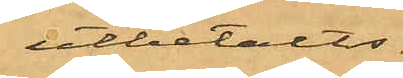utbetalts
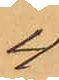4
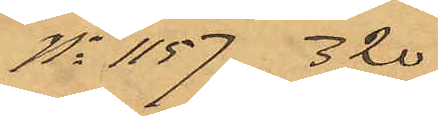No 1157 320
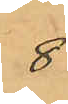8
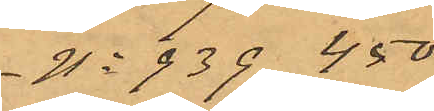No 939 450
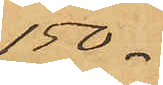150.
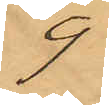9
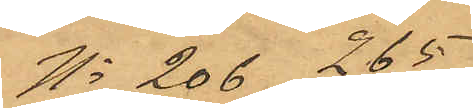No 206 265
